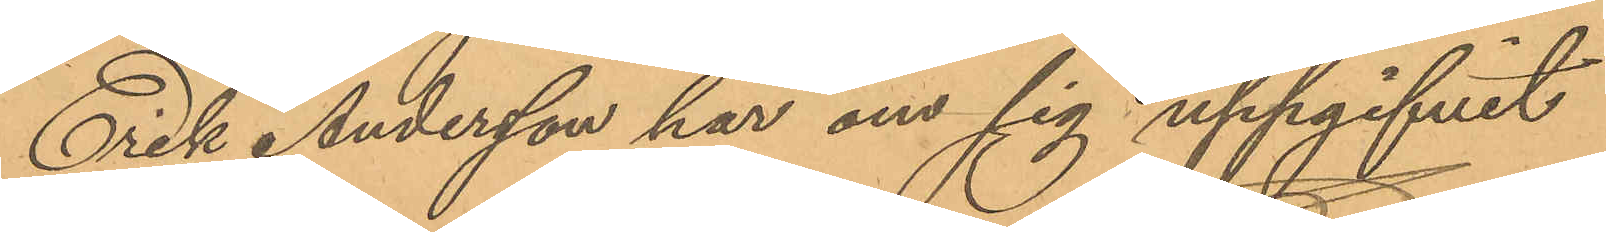Erik Andersson har om sig uppgifvit
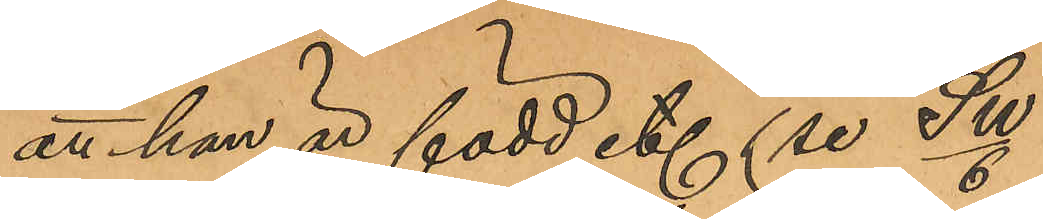att han är född etc (se Sw/6)
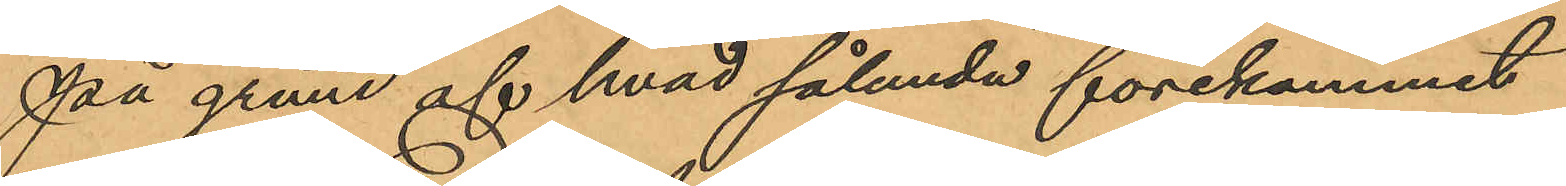På grund af hvad sålunda förekommit
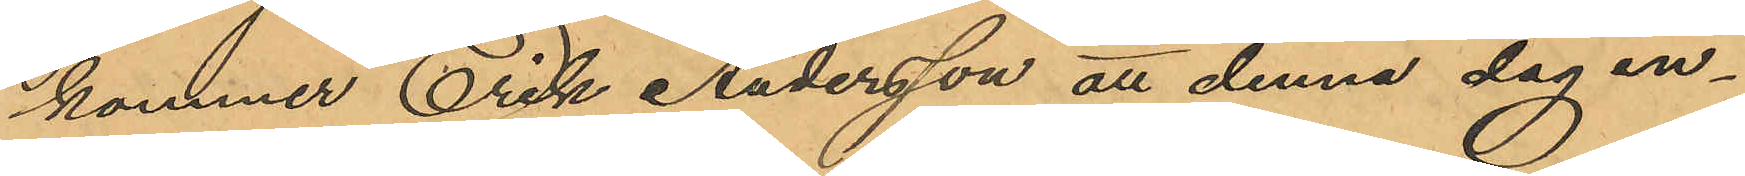kommer Erik Andersson att denna dag in¬
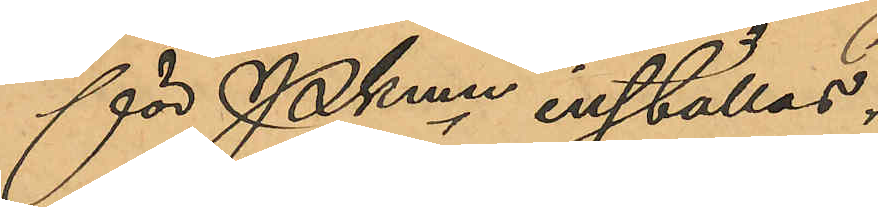för Pkmn inställas.
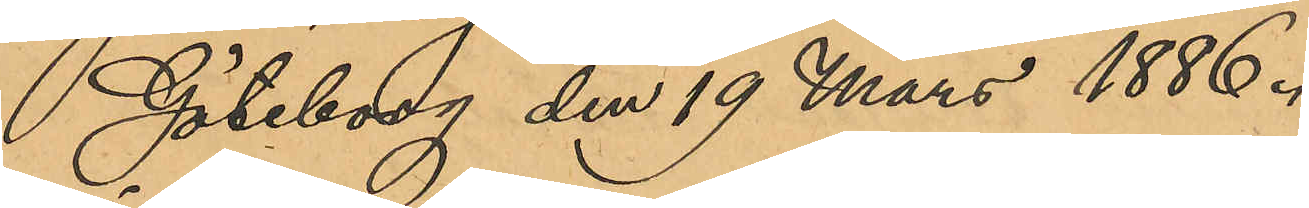Göteborg den 19 Mars 1886.
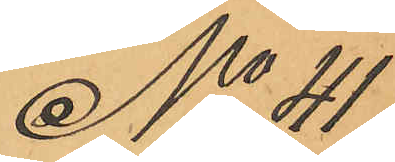No 41
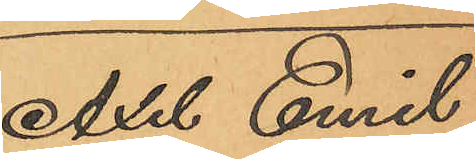Axel Emil
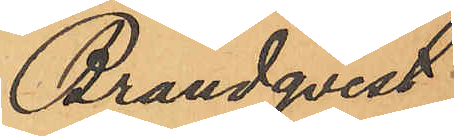Brandqvist.
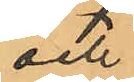och
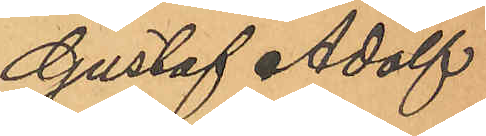Gustaf Adolf
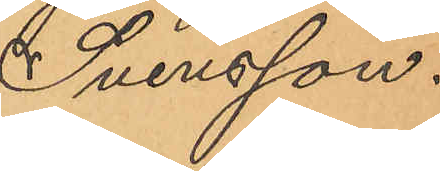Svensson.
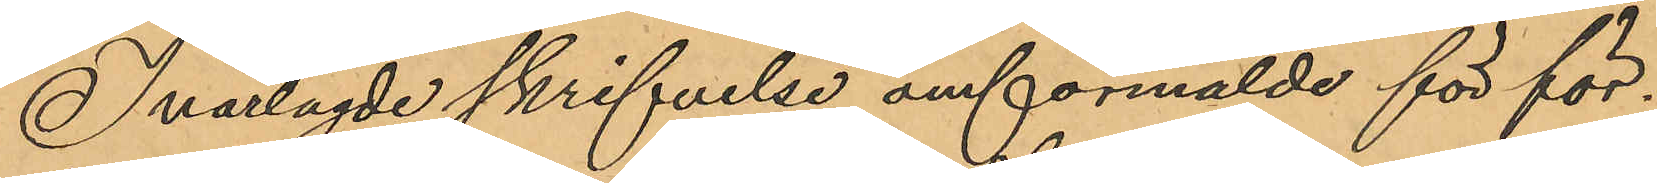I närlagde skrifvelse omförmälde för för¬
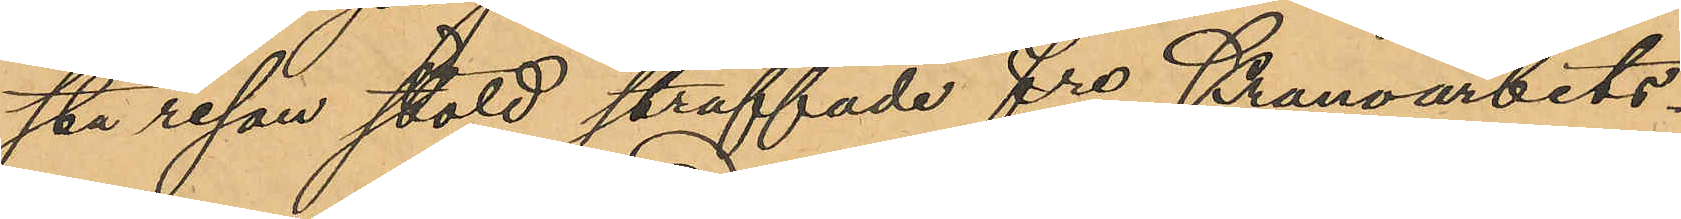sta resan stöld straffade fre Kronoarbets¬
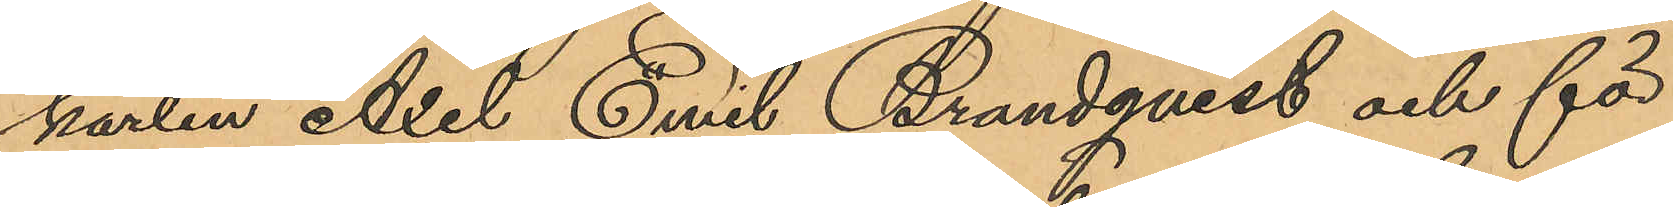karlen Axel Emil Brandqvist och för
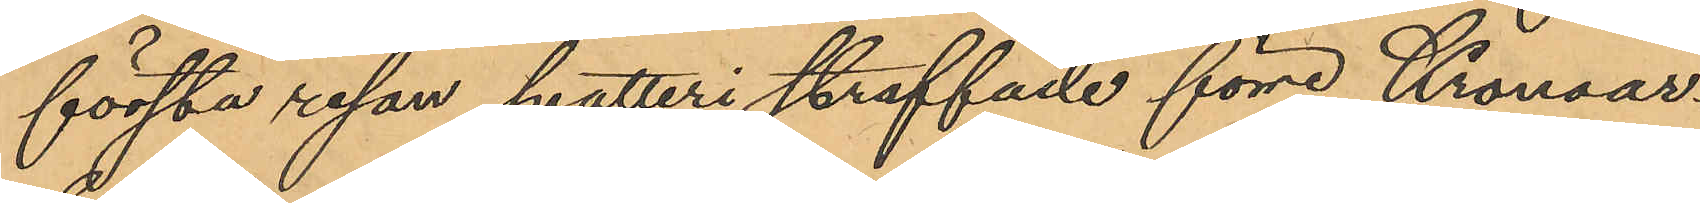första resan snatteri straffade förre Kronoar¬
